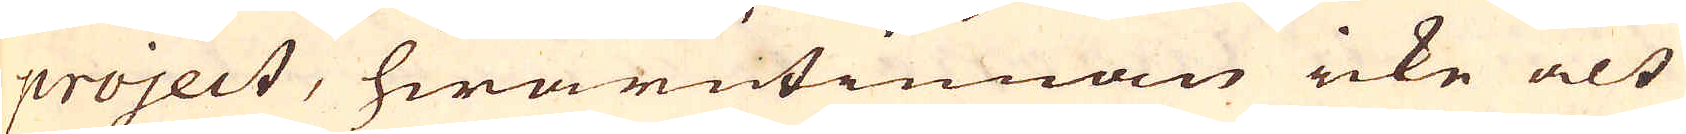project, hwarutinnan icke alt
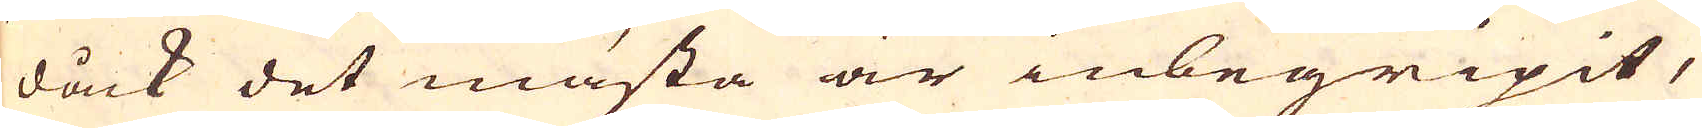dåck det mästa är inbegripit,
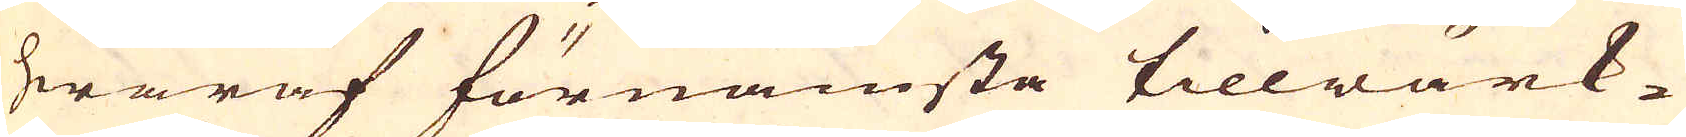hwaraf förnämsta tillwärk-
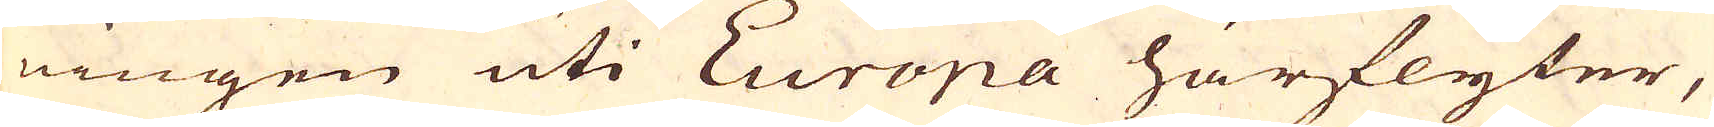ningen uti Europa härflyter,
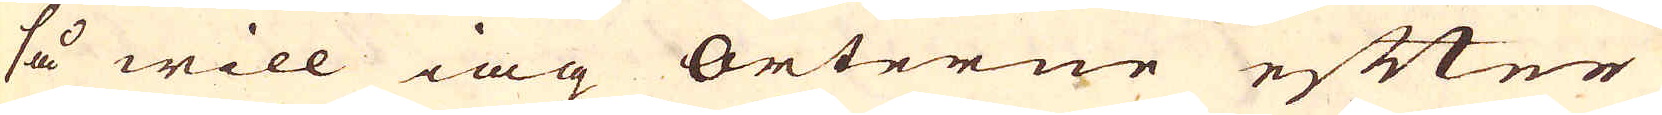så will iag orterne efter
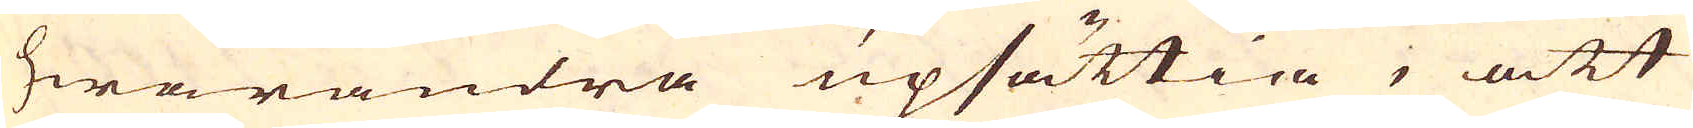hwarandra upsättia, att
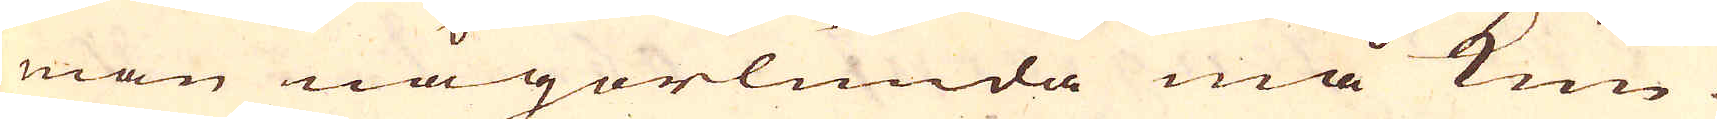man någorlunda må kun-
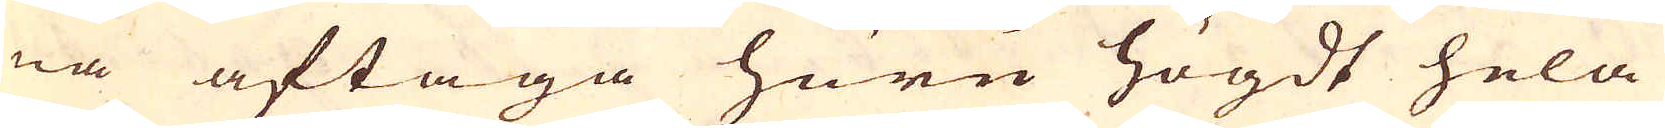na aftaga huru högdt hela
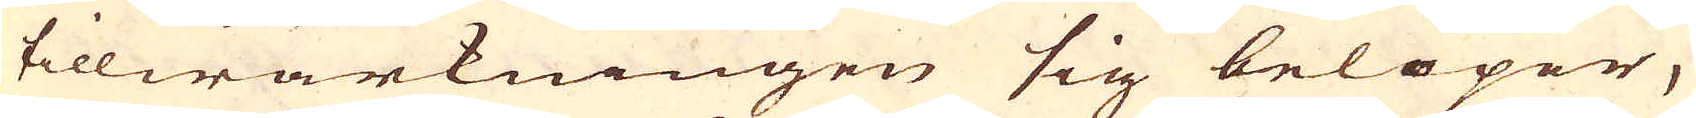tillwärkningen sig belöper,
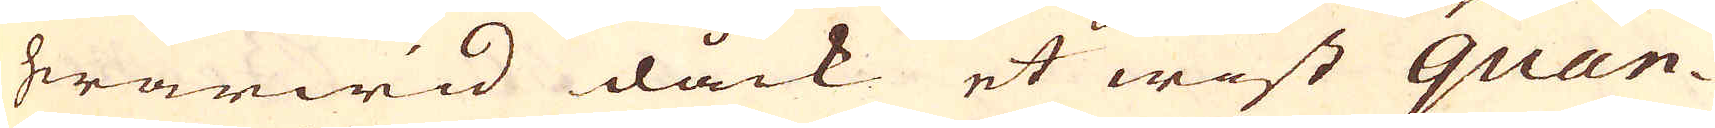hwarwid dåck et wist quan-
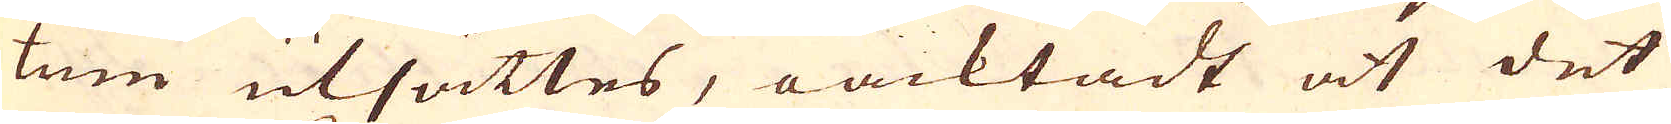tum utsättes, oacktadt at det
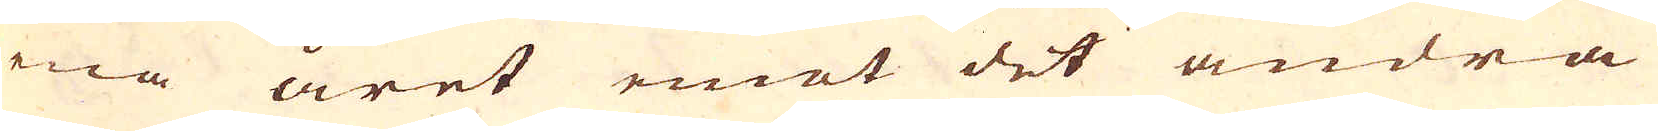ena året emot det andra
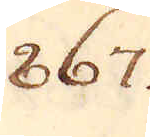867.
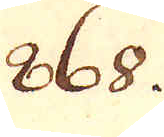868.
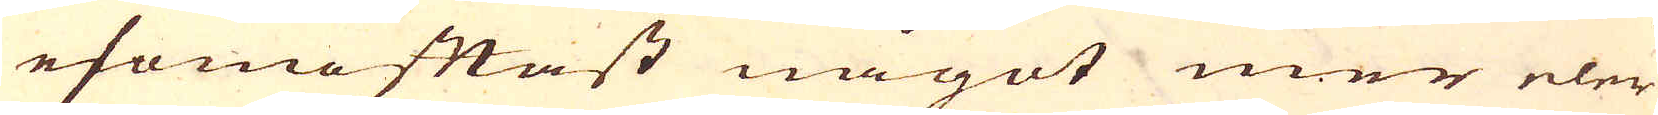esomoftast något mer eler
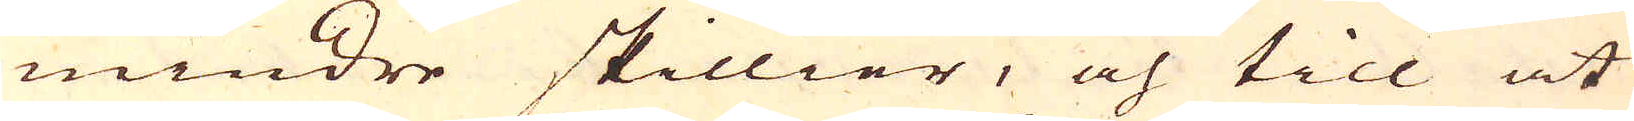mindre skillier, och till at
